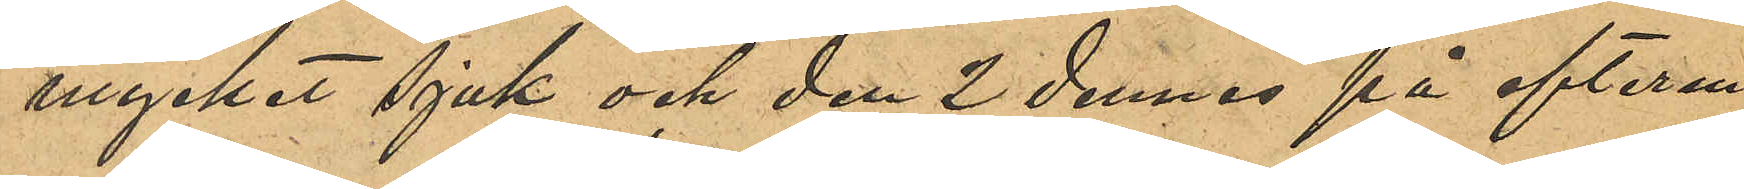mycket sjuk och den 2 dennes på efterm.
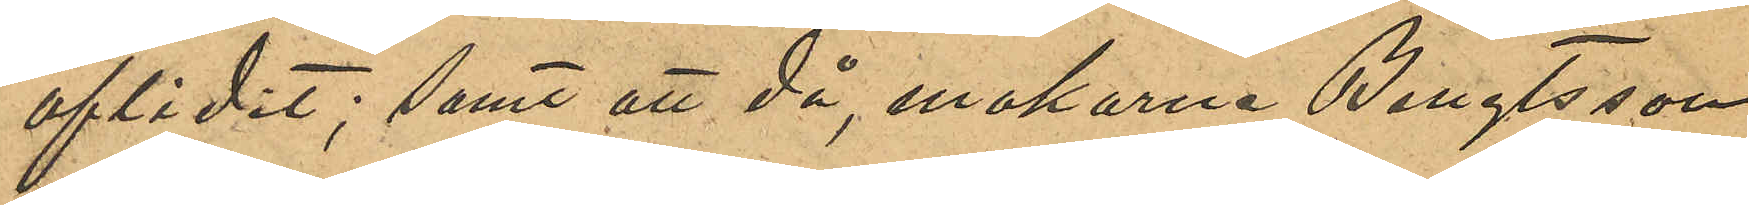aflidit; samt att då, makarna Bengtsson
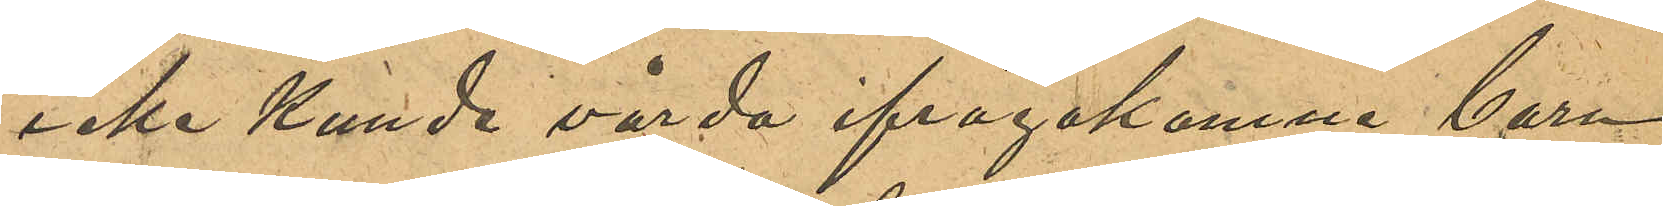icke kunde vårda ifrågakomne barn,
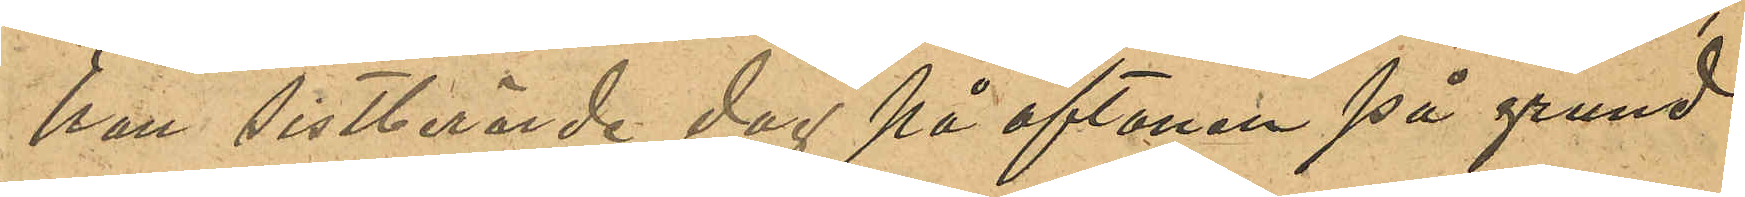han sistberörde dag på aftonen på grund
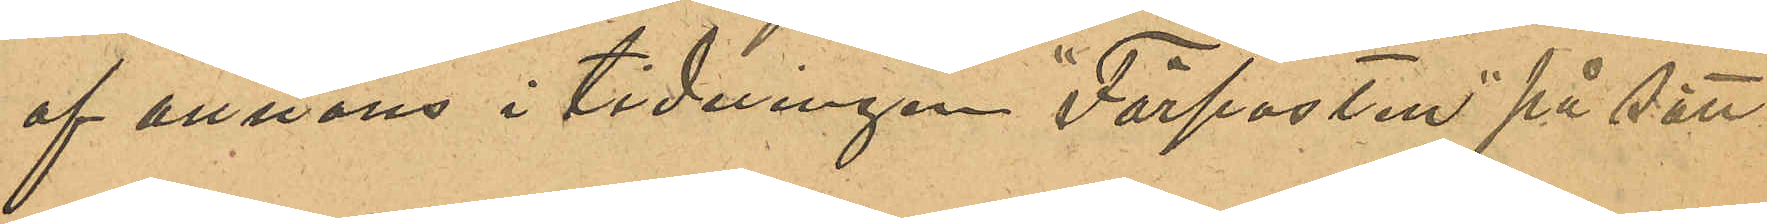af annons i tidningen "Förposten" på sätt
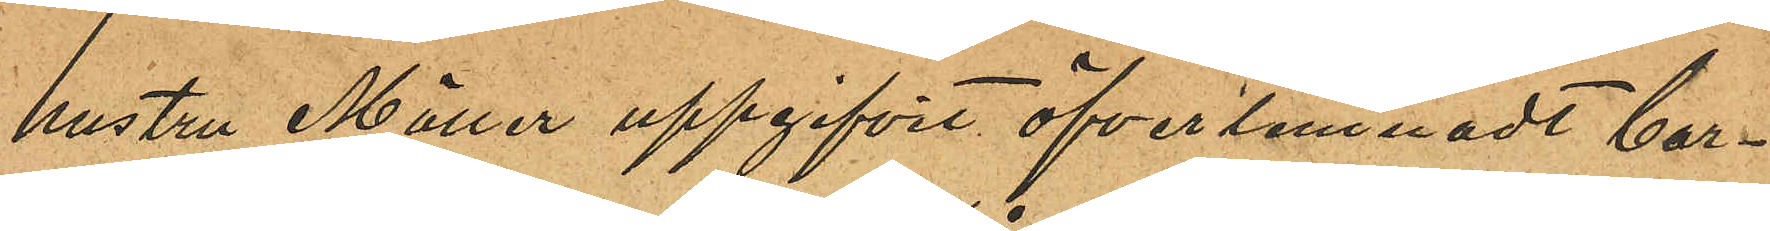hustru Möller uppgifvit öfverlemnadt bar¬
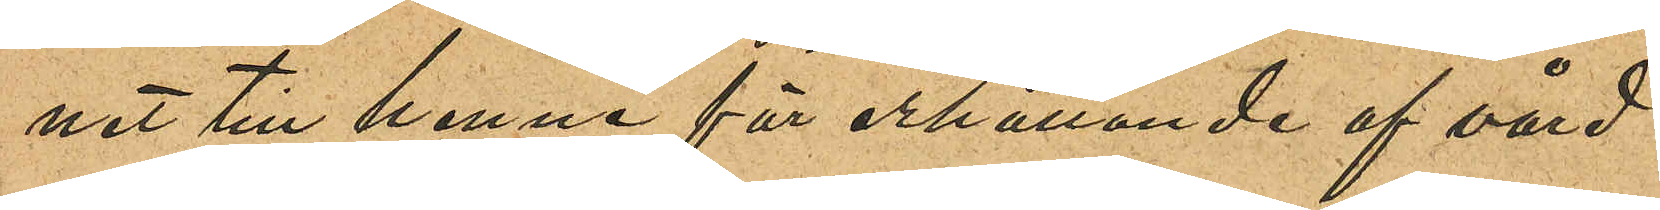net till henne för erhållande af vård.
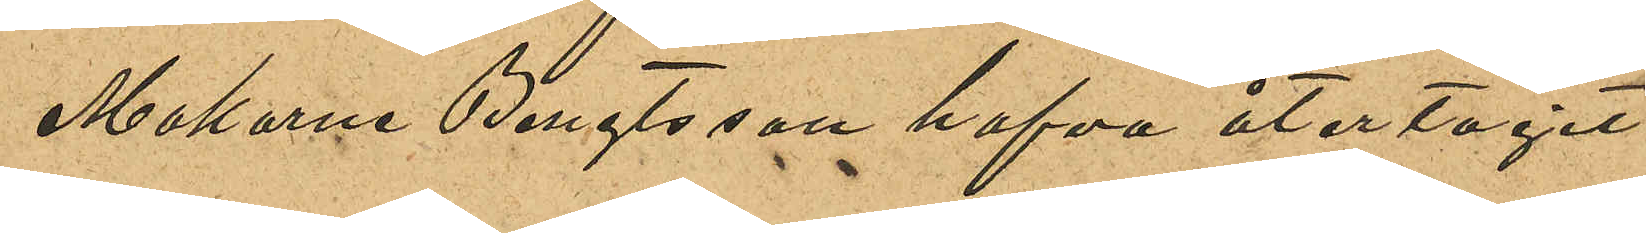Makarne Bengtsson hafva återtagit
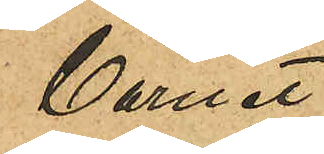barnet.
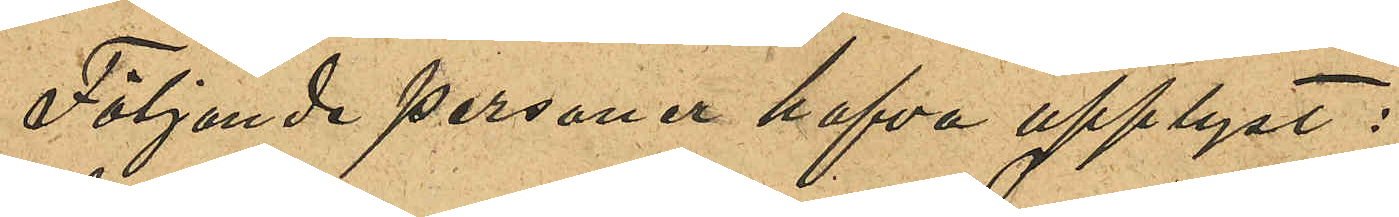Följande personer hafva upplyst:
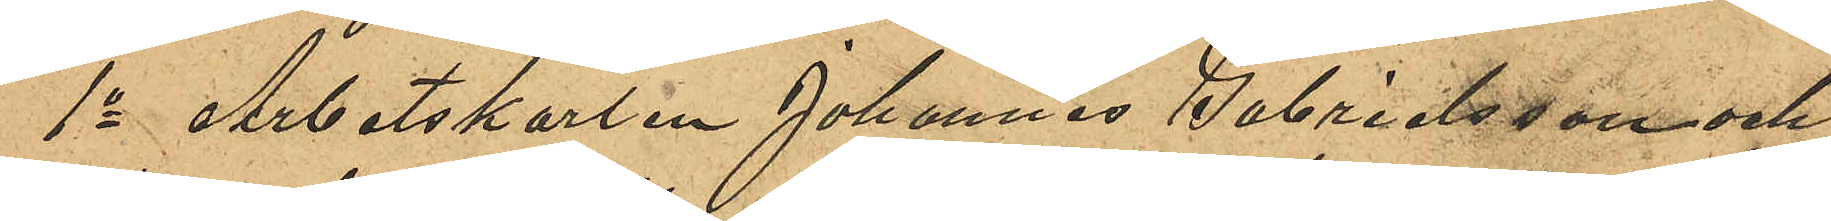1o Arbetskarlen Johannes Gabrielsson och
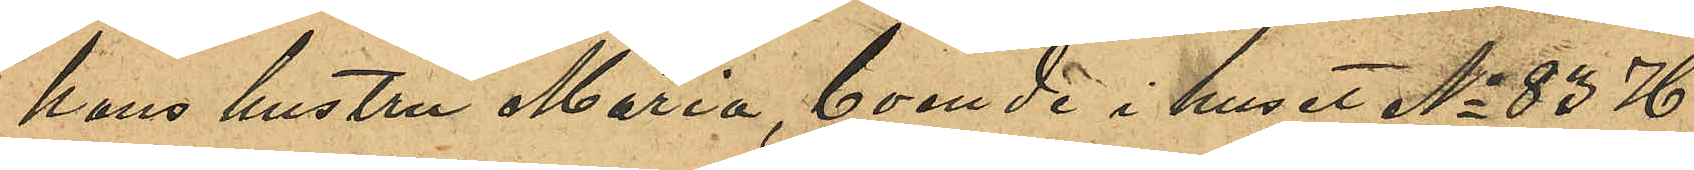hans hustru Maria, boende i huset No 83 H
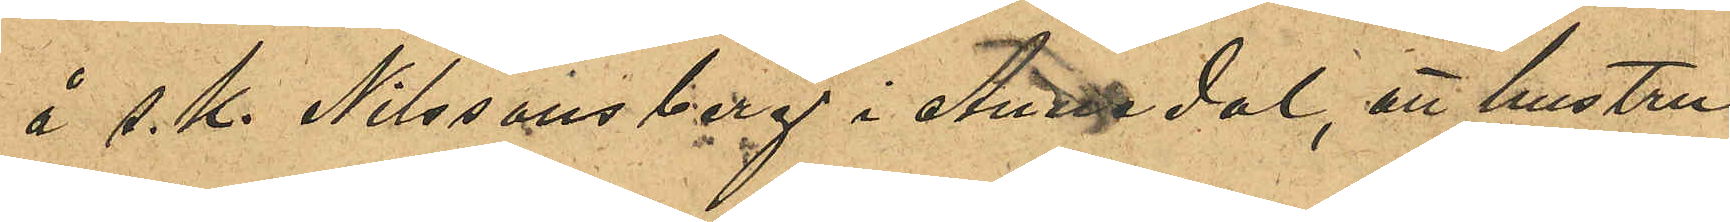å s. k. Nilssonsberg i Annedal, att hustru
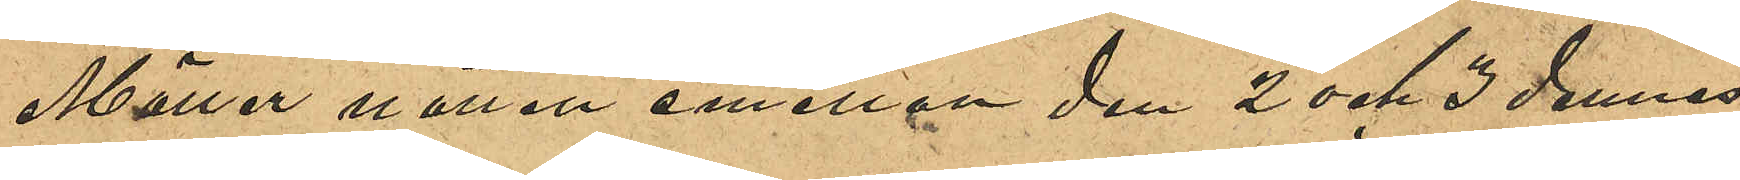Möller natten emellan den 2 och 3 dennes
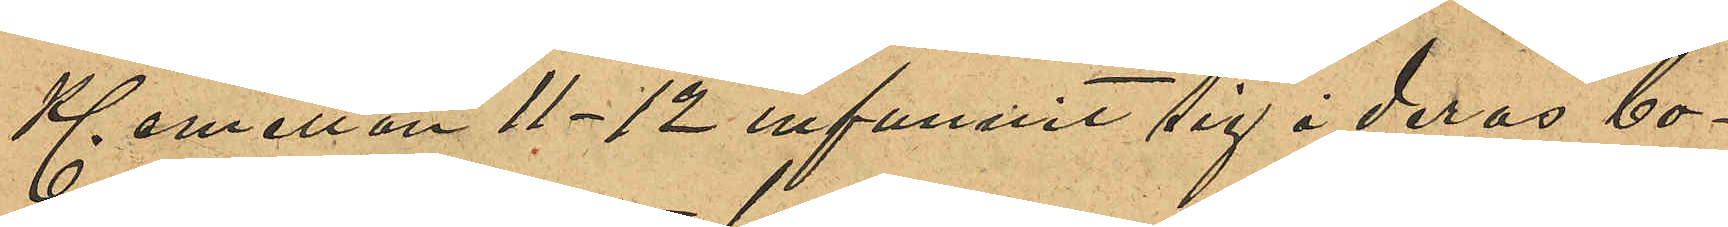Kl emellan 11-12 infunnit sig i deras bo¬
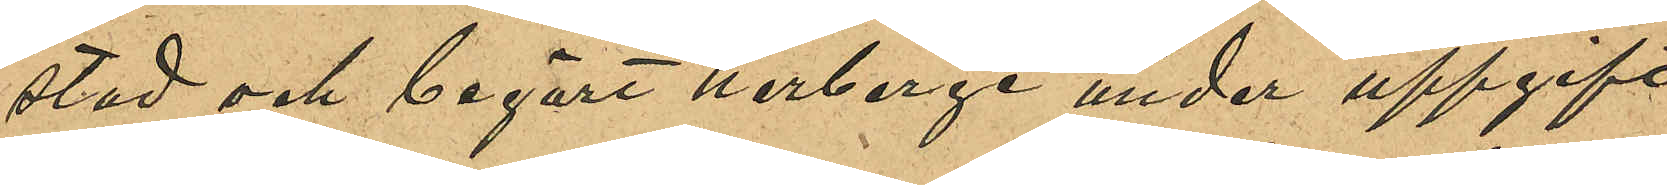stad och begärt herberge under uppgift
